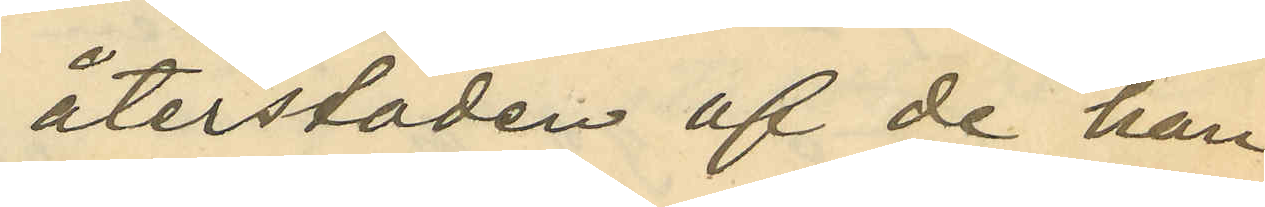återstoden af de han
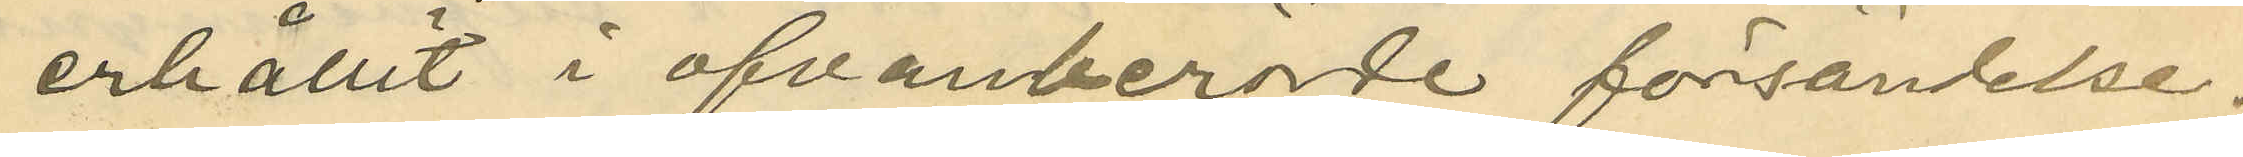erhållit i ofvanberörde försändelse;
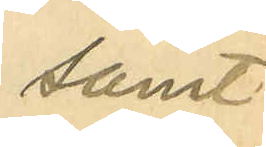samt
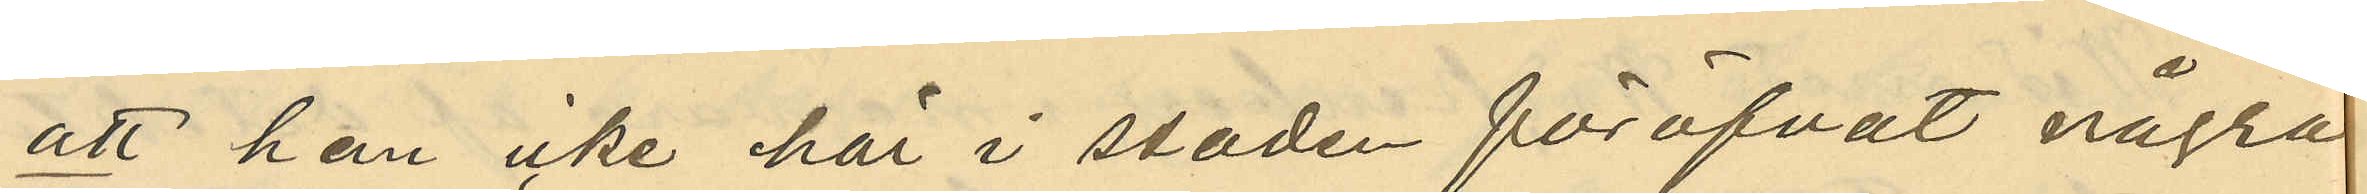att han icke här i staden föröfvat några
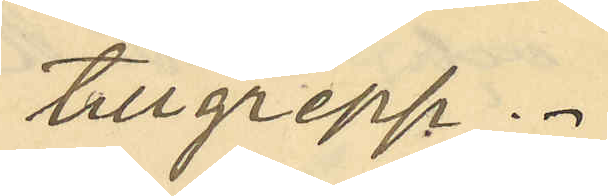tillgrepp.
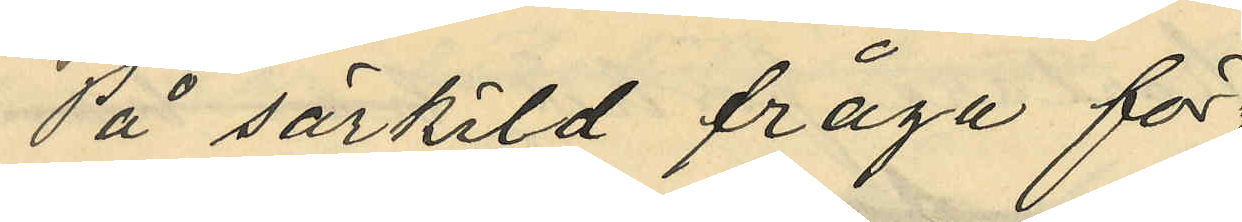På särskild fråga för¬
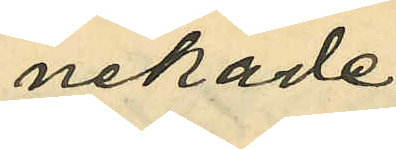nekade
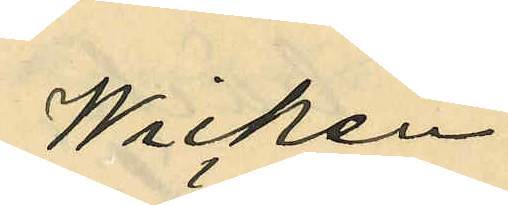Wicken¬
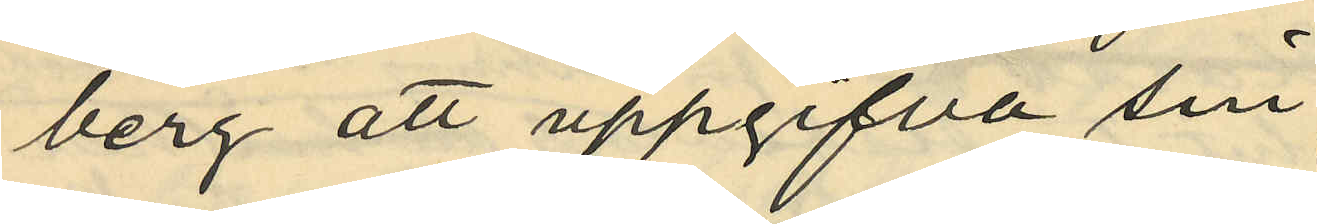berg att uppgifva sin
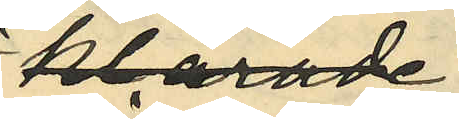härvarande
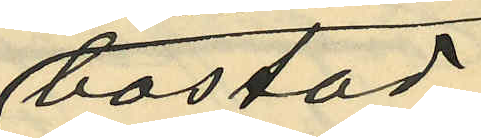bostad.
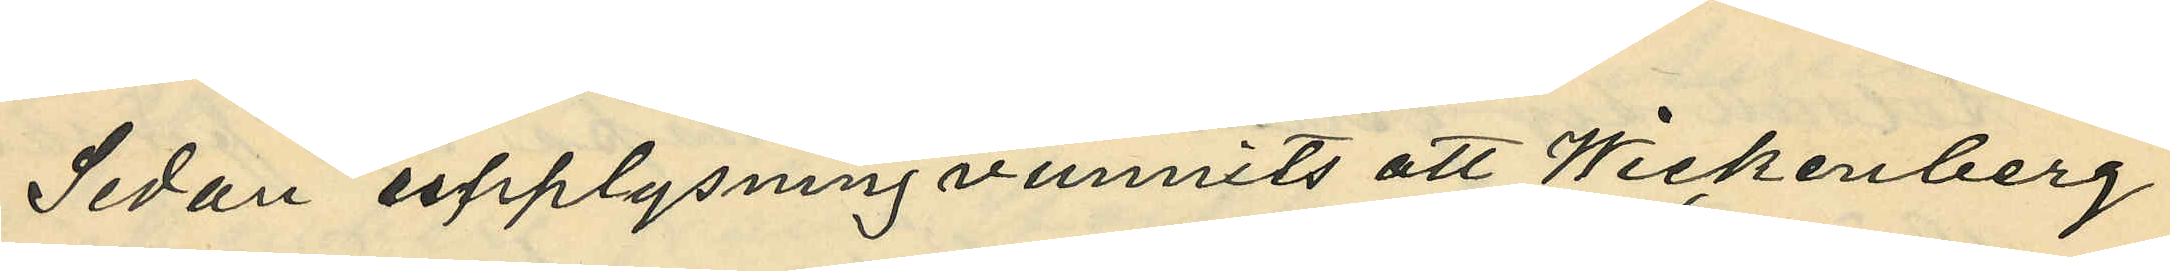Sedan upplysning vunnits att Wickenberg
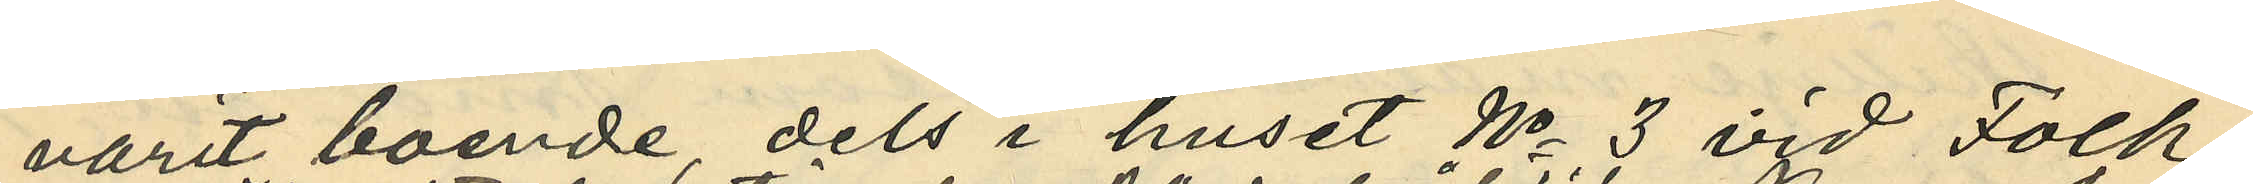varit boende, dels i huset No 3 vid Folk¬
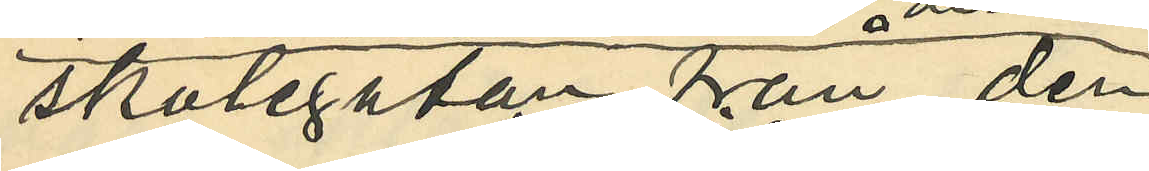skolegatan fån den
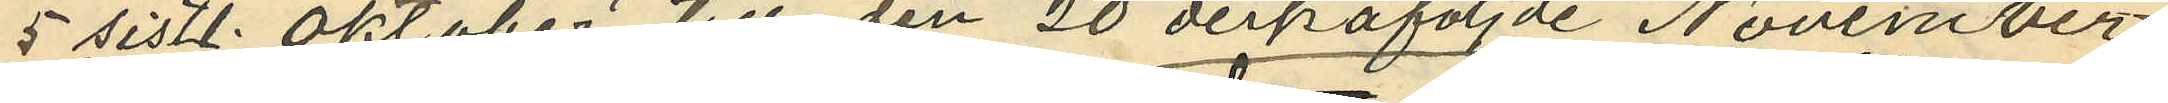5 sistl. Oktober till den 20 derpåföljde November
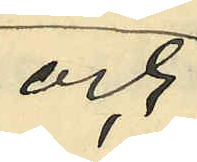och
